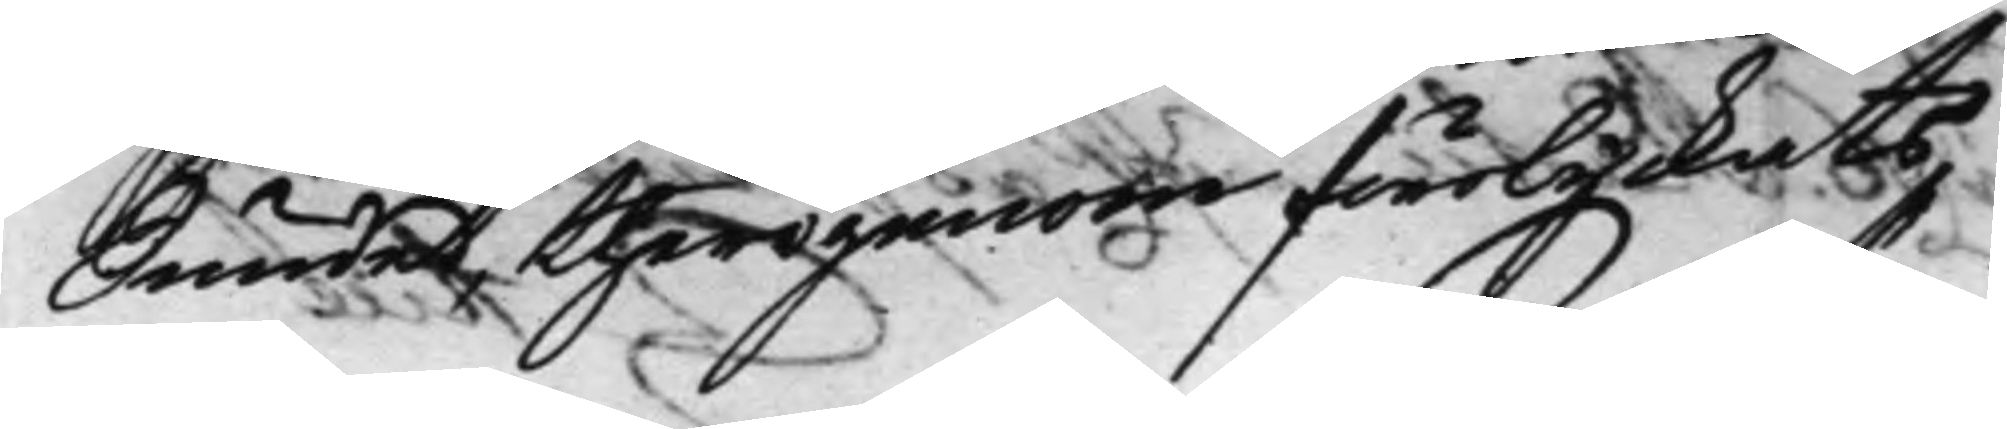Sundet therigenom förolyckats,
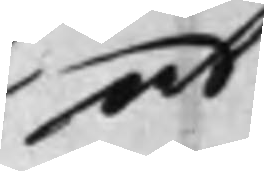at
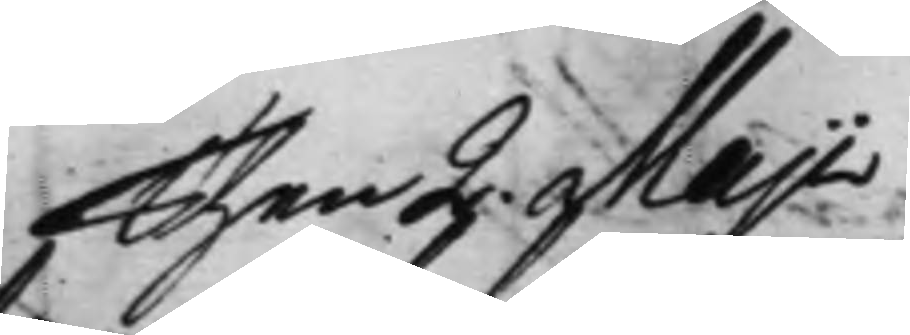Then 2. Maji 
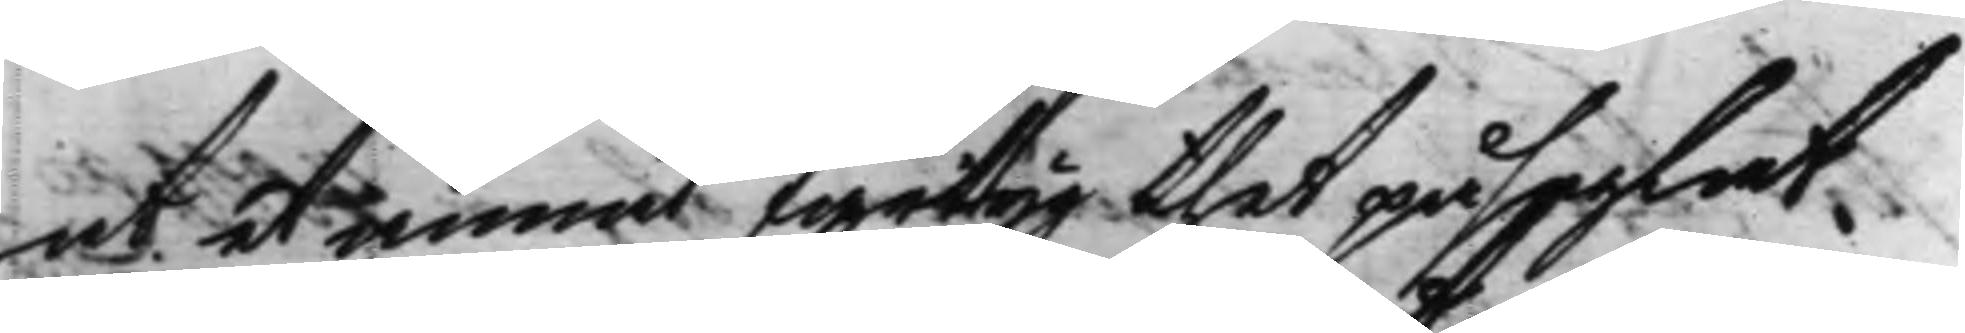at et annat fartyg thet påseglat.
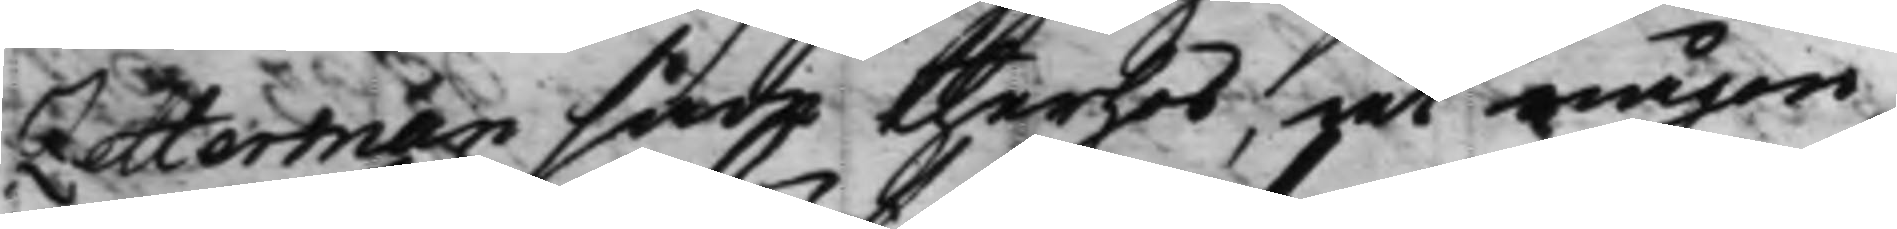Zetterman sade therhos, at någon
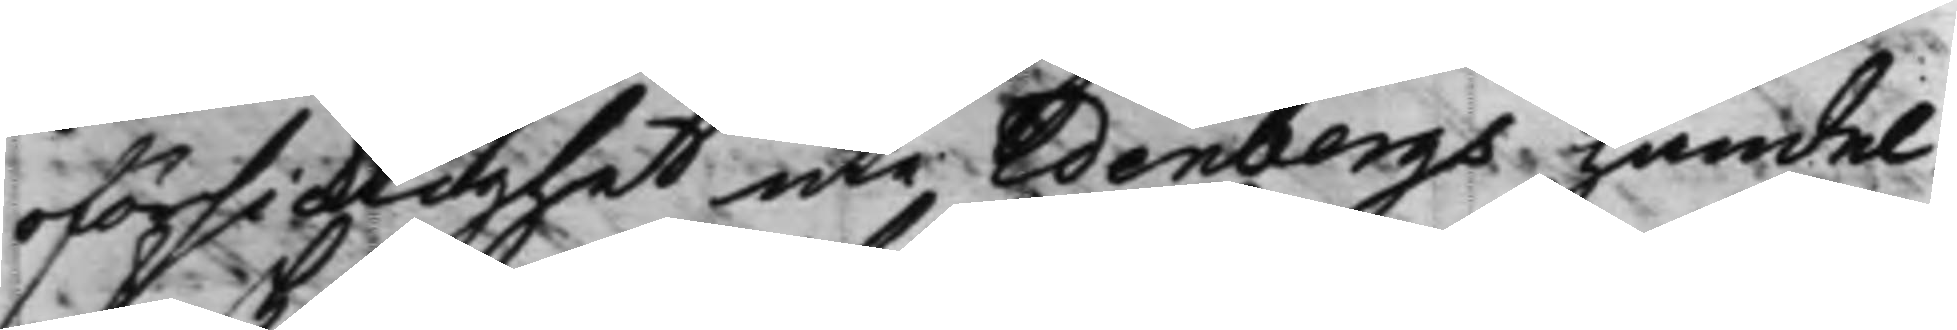oförsiktighet uti Edenbergs handel
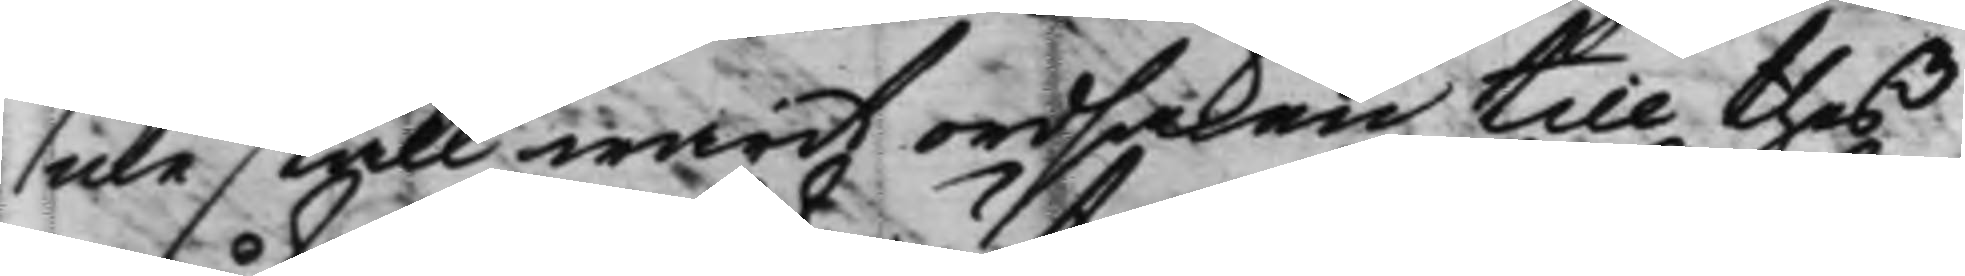icke skall warit ordsaken till thes
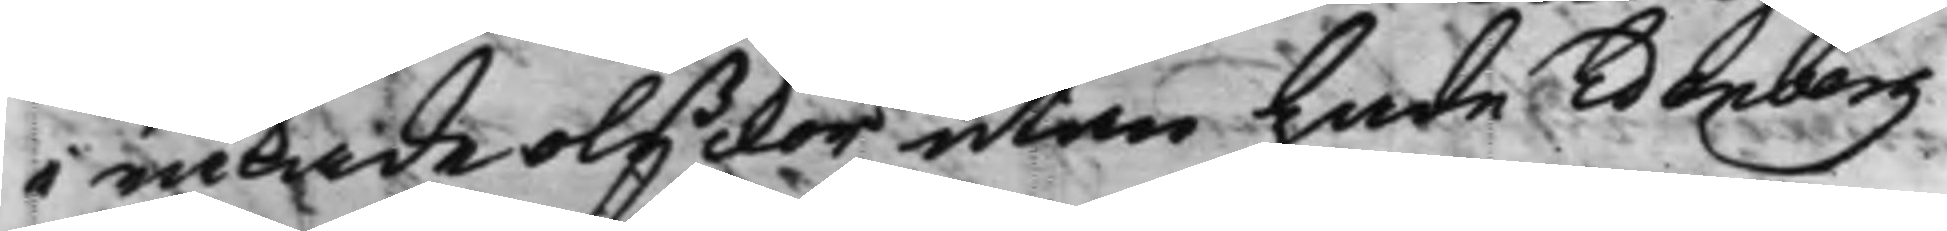i råkade olyckor utan hade Edenberg
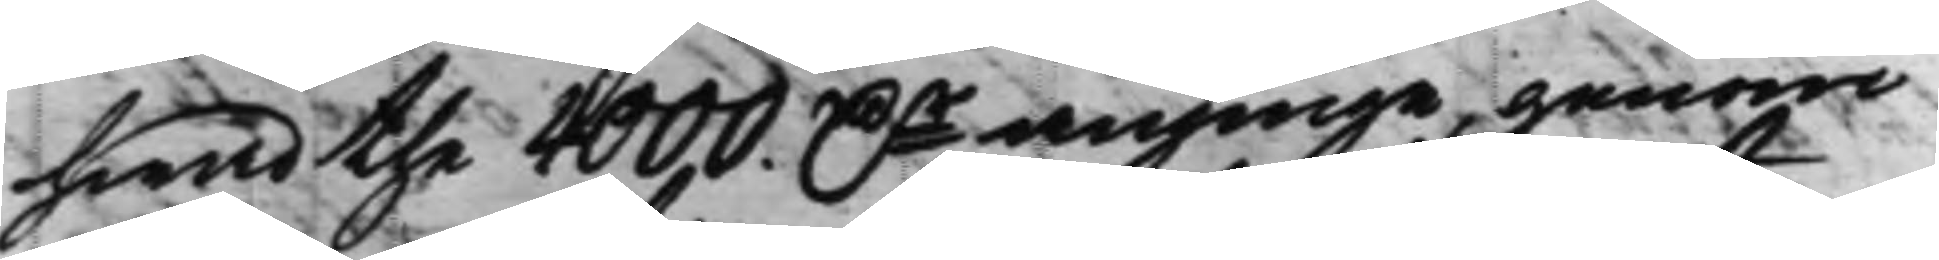hwad the 4000. Dr anginge, genom 
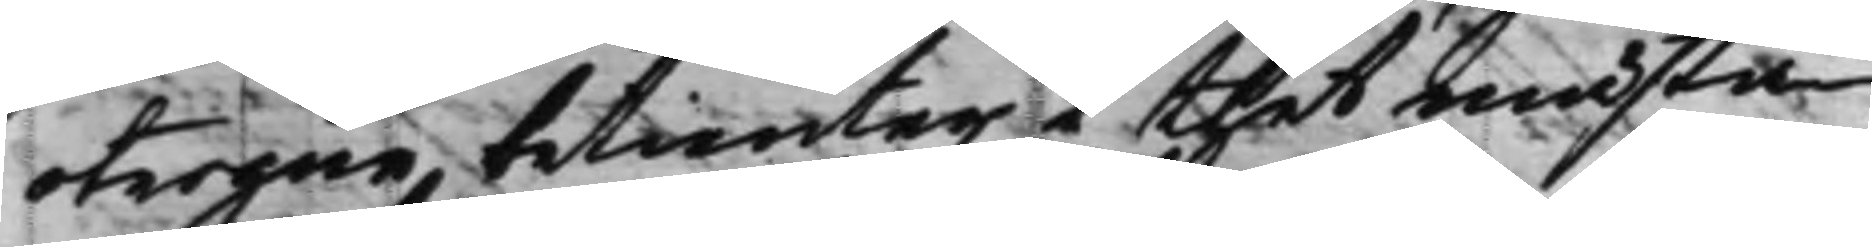otrogne betienter i thet mästa
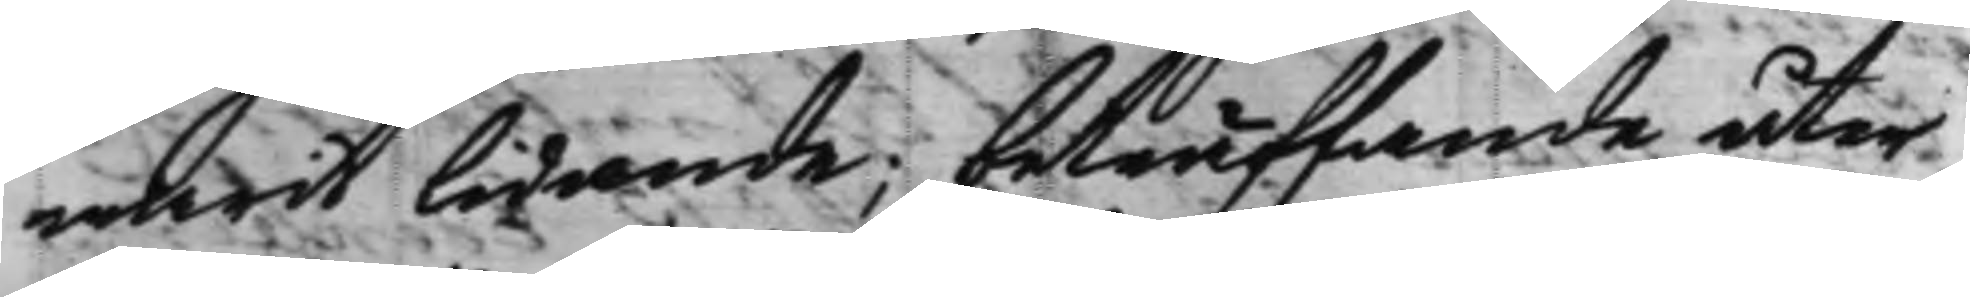warit lidande; beträffande åter
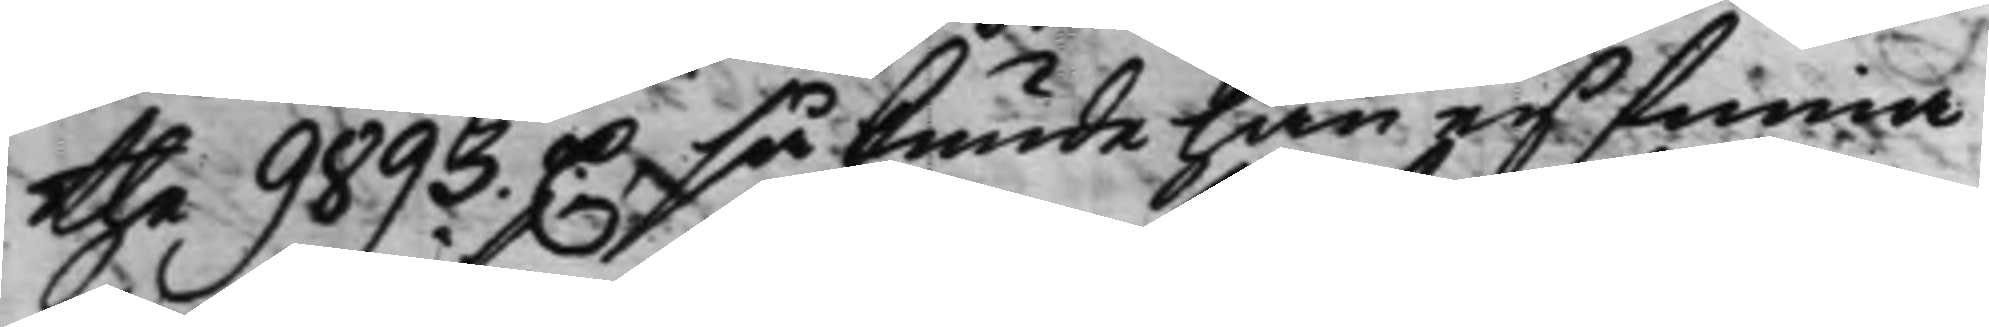the 9893. D. så kunde han ey finna 
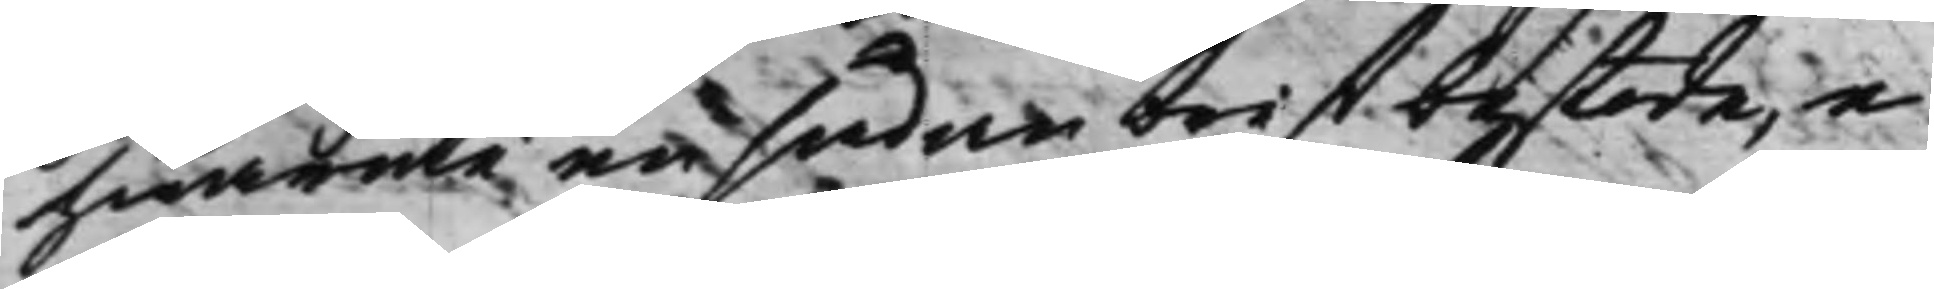hwaruti en sådan brist bestode, e¬
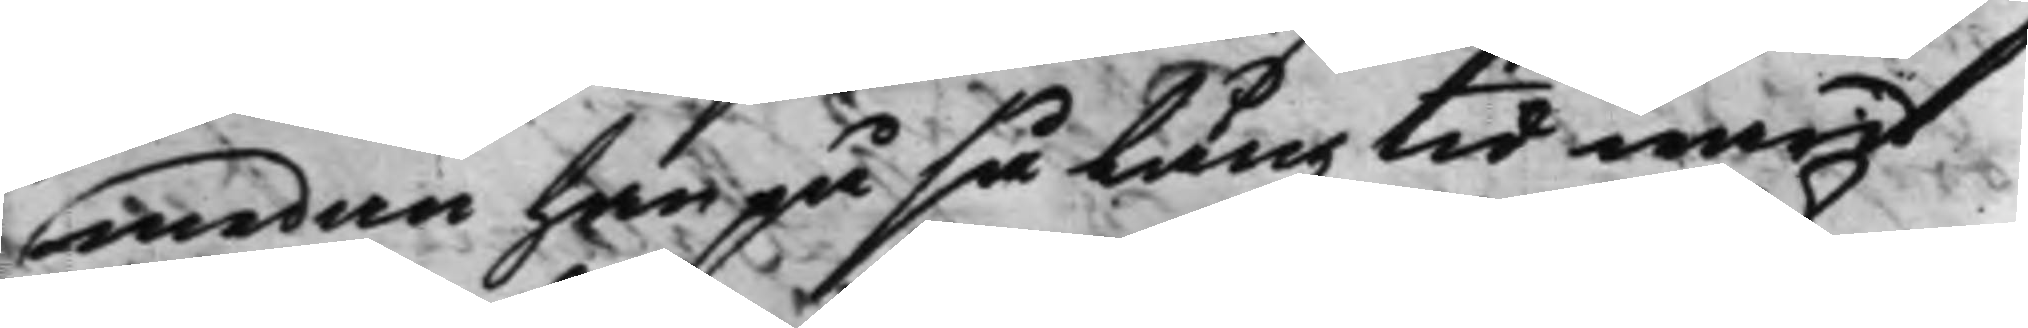medan han på så lång tid warit
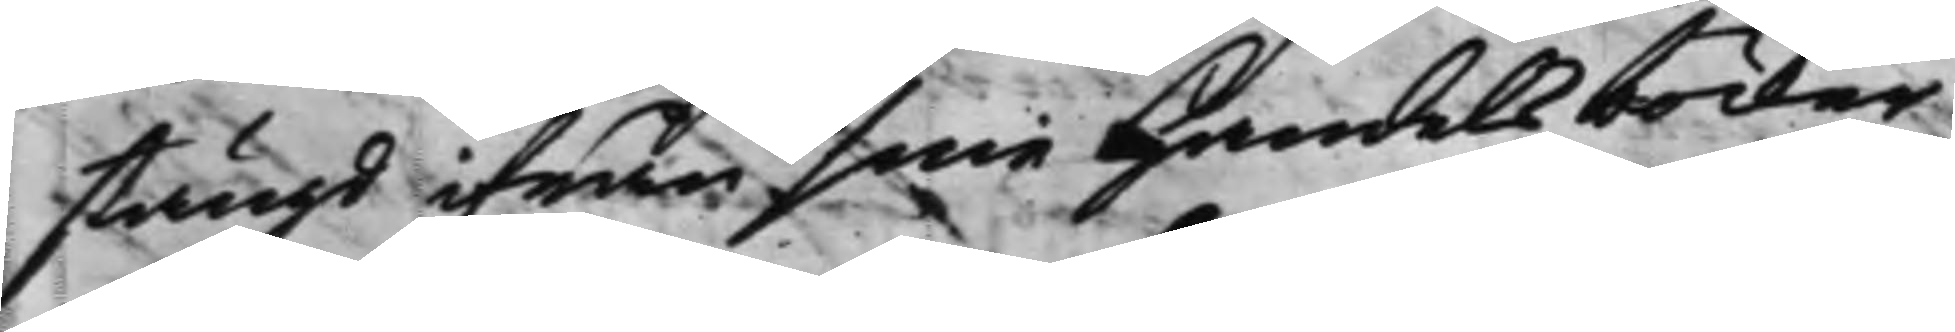stängd ifrån sine Handelsböcker
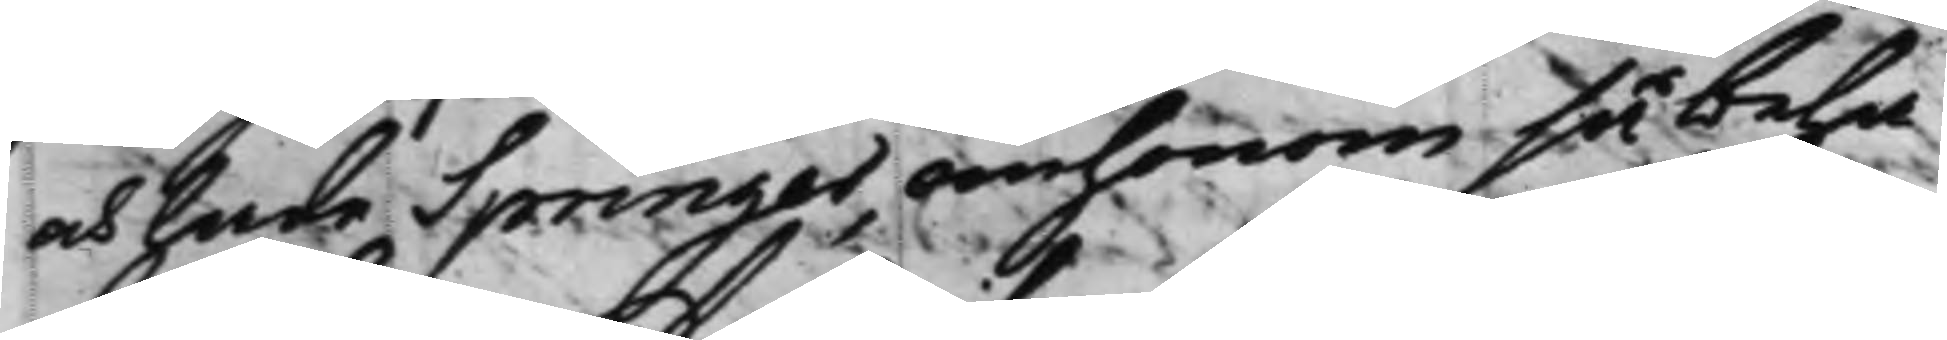och hade Springer om honom så beha¬
